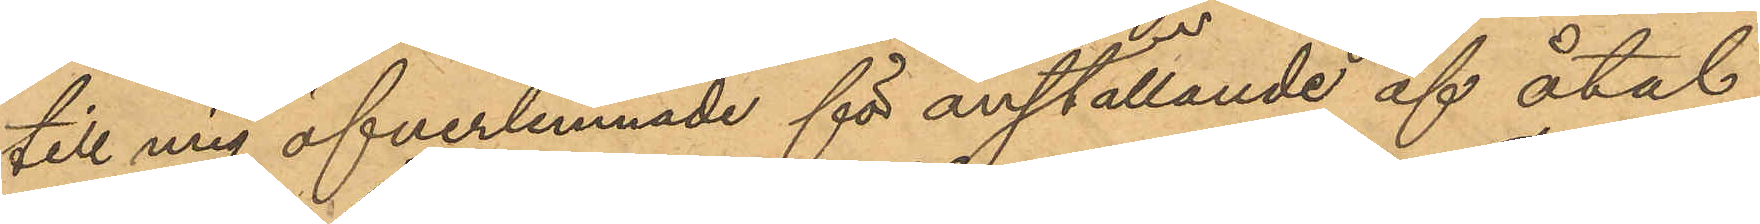till mig öfverlemnade för anställande af åtal,
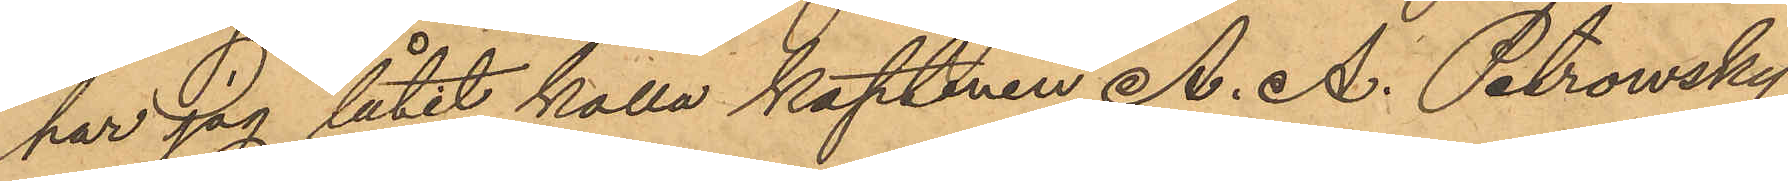har jag låtit kalla kaptenen A. A. Petrowsky
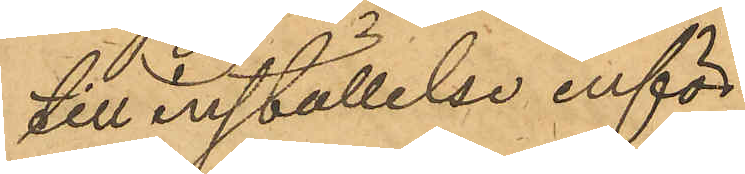till inställelse inför
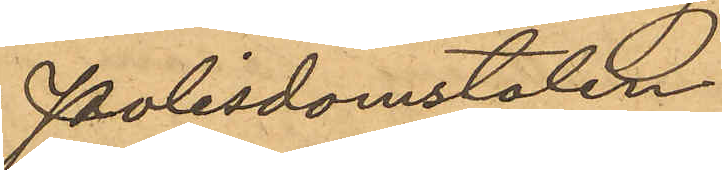Polisdomstolen
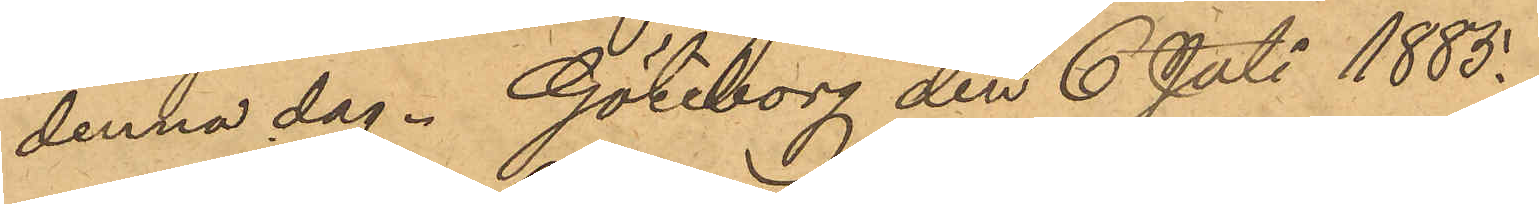denna dag. Göteborg den 6 Juli 1883.
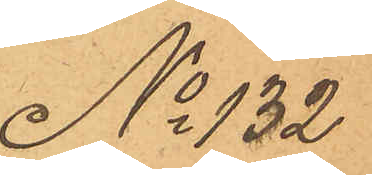No 132
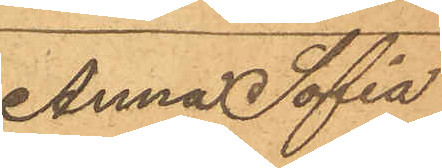Anna Sofia
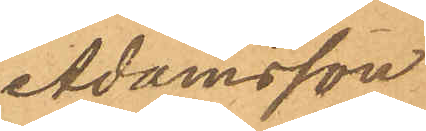Adamsson
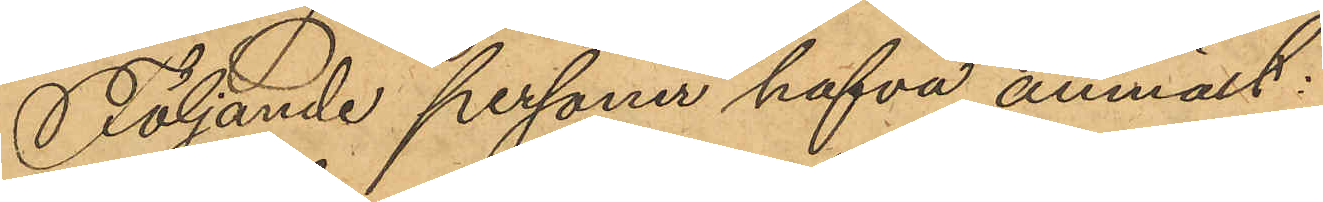Följande personer hafva anmält:
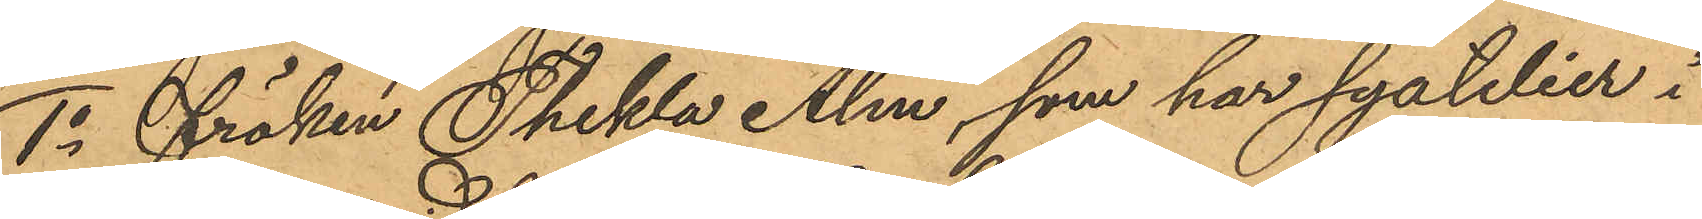1o Fröken Thekla Alm, som har syatelier i
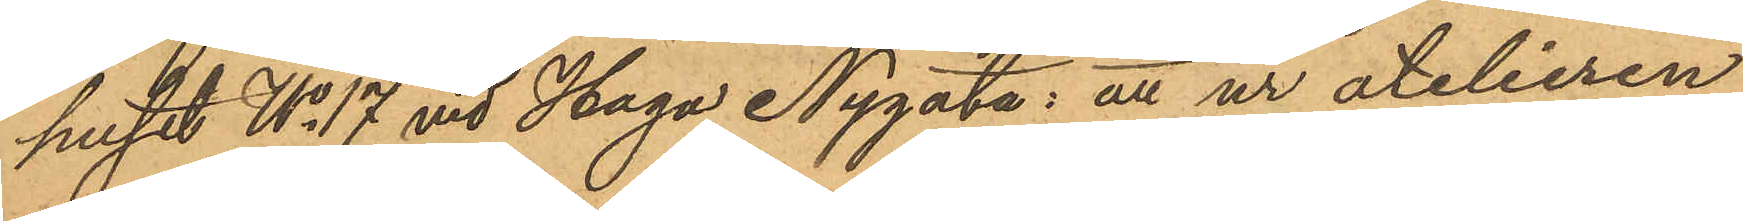huset No 17 vid Haga Nygata: att ur atelieren
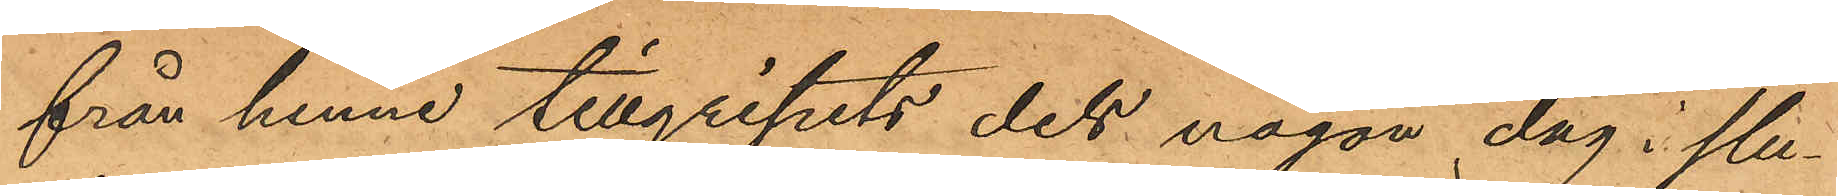från henne tillgripits dels någon dag i slu¬
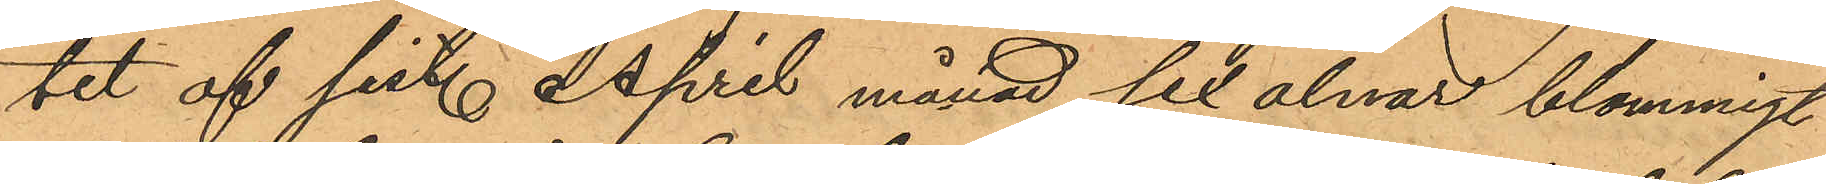tet af sist. April månad sex alnar blommigt
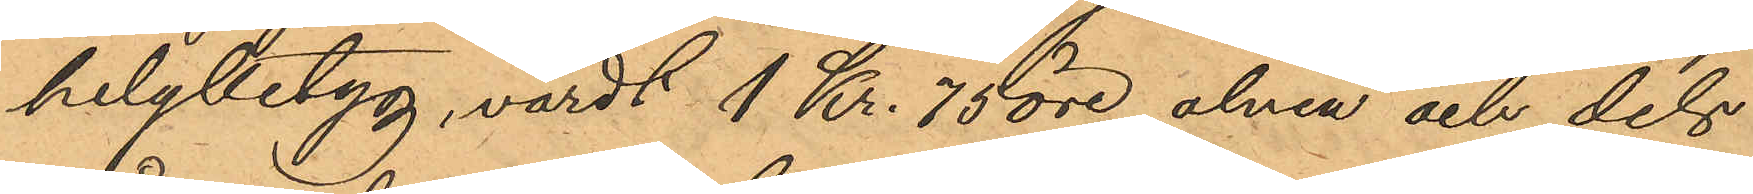helylletyg, värdt 1 Kr. 75 öre alnen och dels
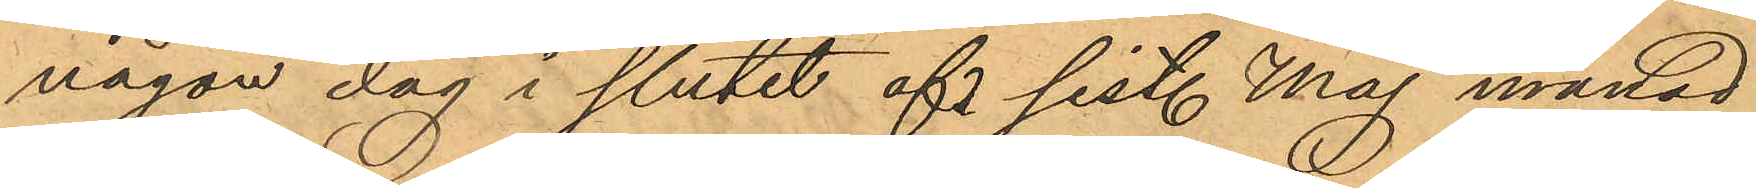någon dag i slutet af sist. Maj månad
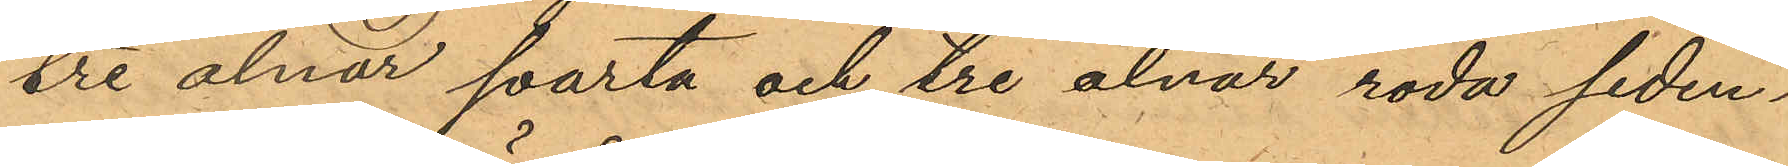tre alnar svarta och tre alnar röda siden¬
